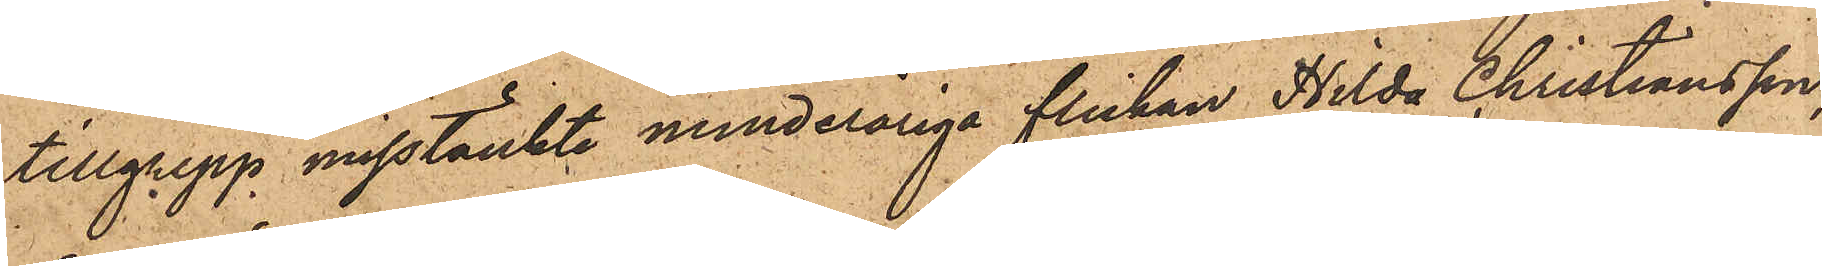tillgrepp misstänkte minderåriga flickan Hilda Christiansson,
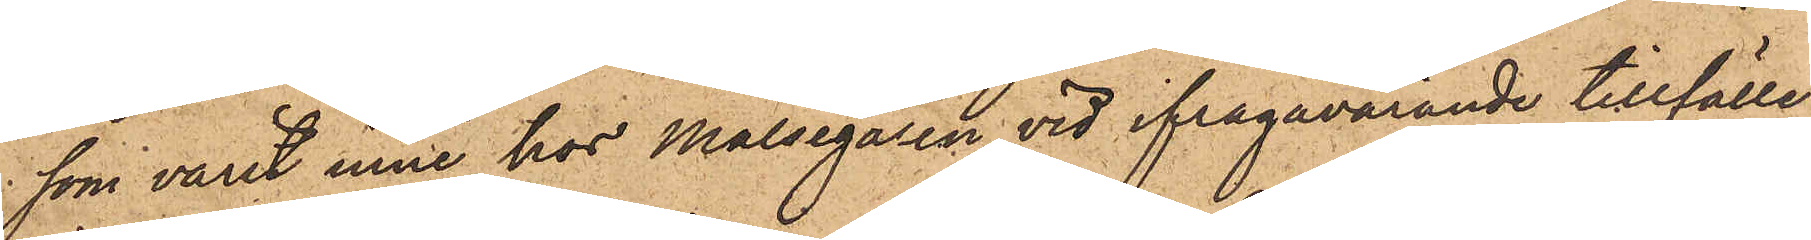som varit inne hos Målsegaren vid ifrågavarande tillfälle,
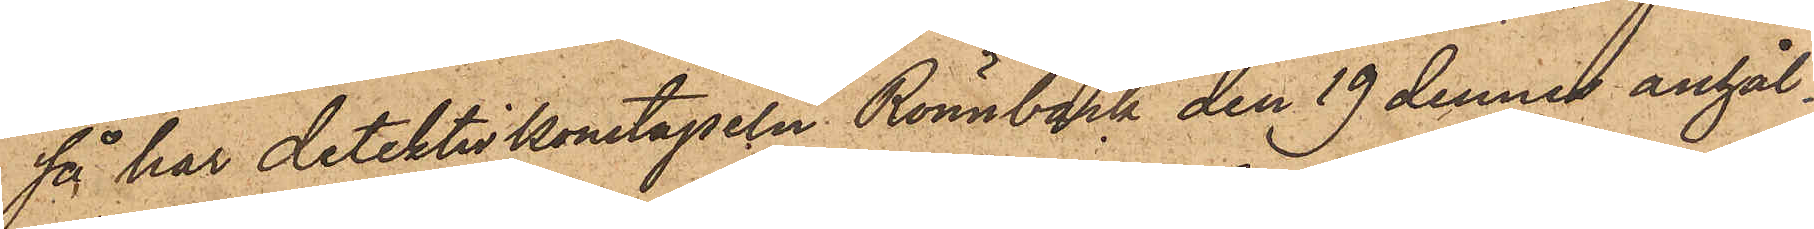så har detektivkonstapeln Rönnbäck den 19 dennes anhål¬
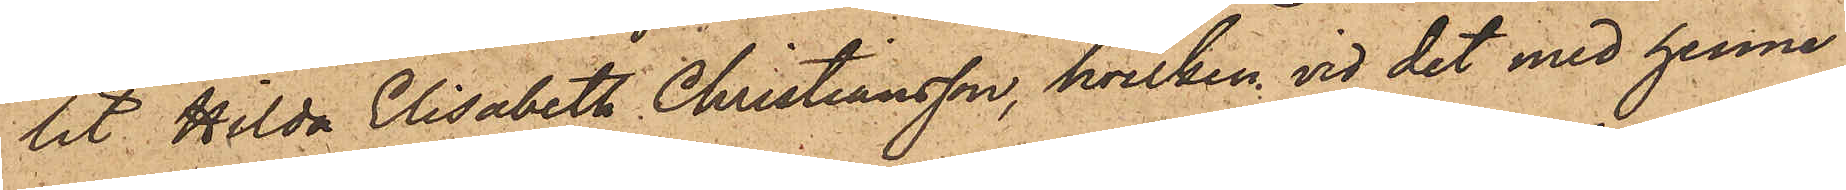lit Hilda Elisabeth Christiansson, hvilken vid det med henne
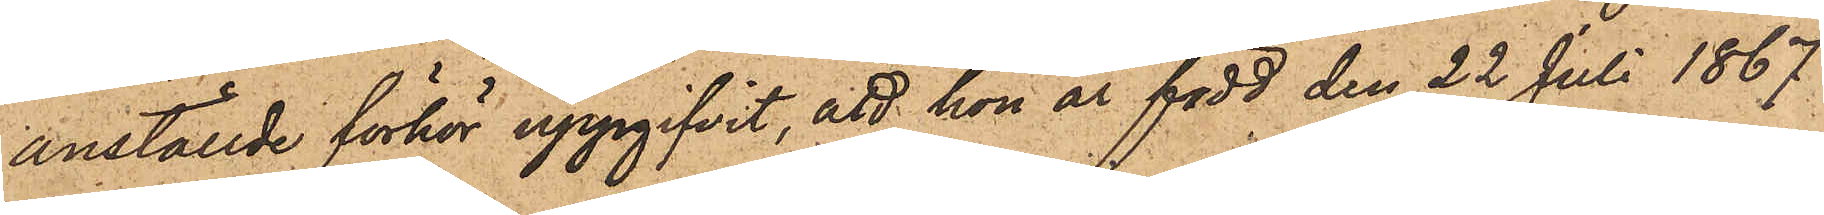anställde förhör uppgifvit, att hon är född den 22 Juli 1867
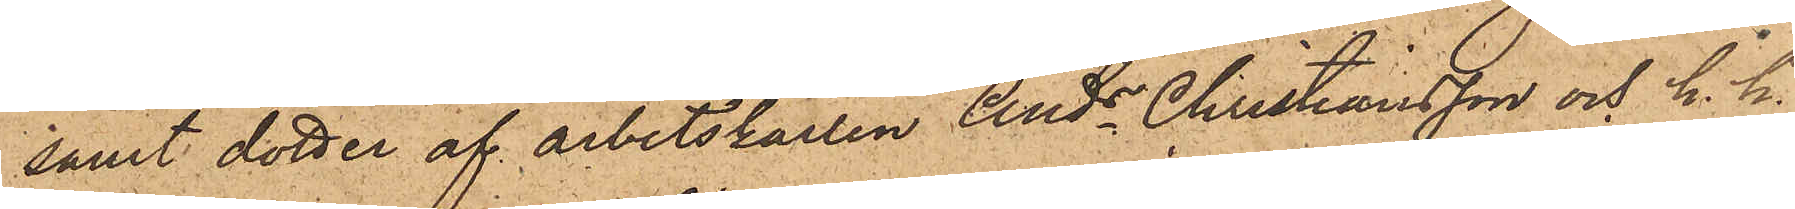samt dotter af arbetskarlen Ands Christiansson och h. h.
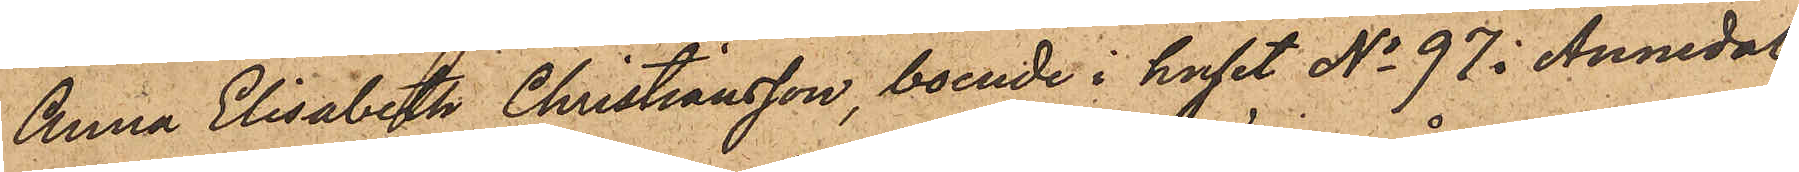Anna Elisabet Christiansson, boende i huset No 97 i Annedal;
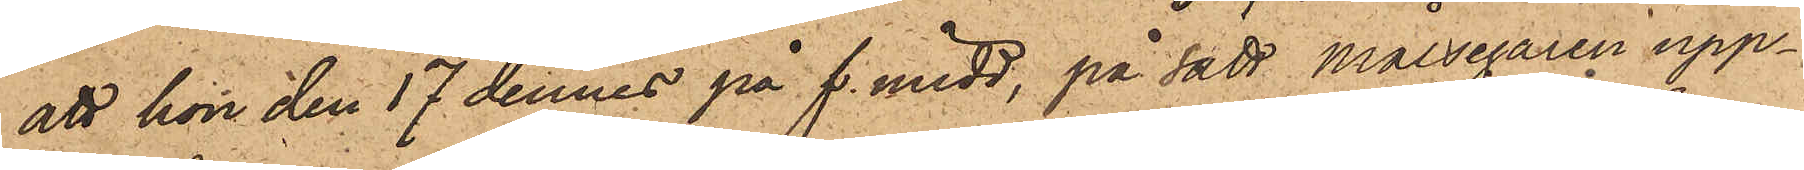att hon den 17 dennes på f. midd, på sätt Målsegaren upp¬
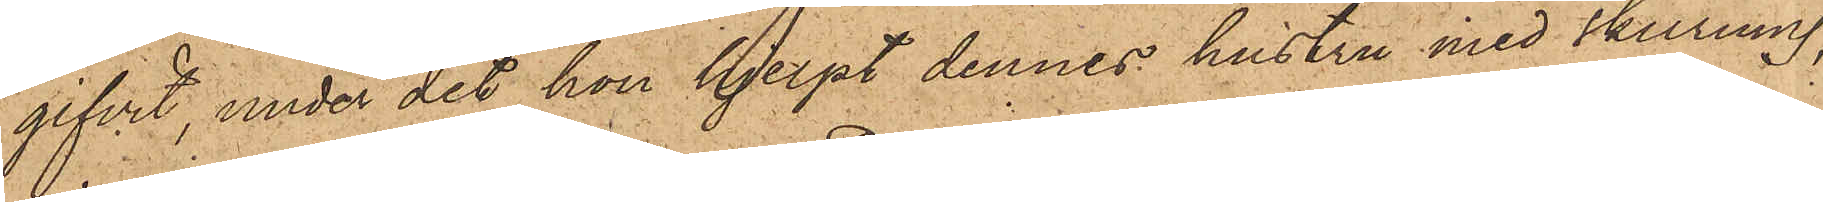gifvit, under det hon hjelpt dennes hustru med skurning,
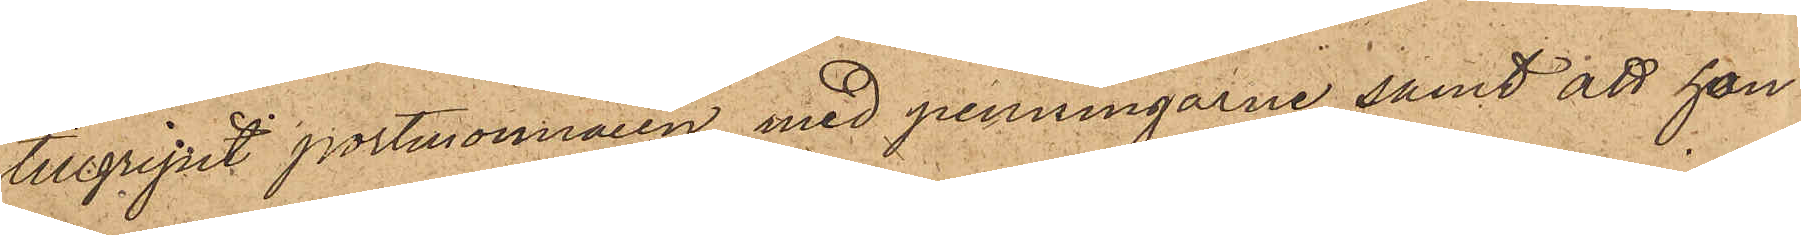tillgripit portmonnaien med penningarne samt att hon
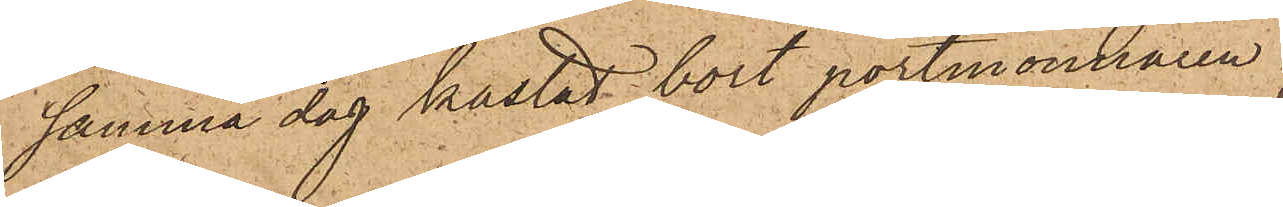samma dag kastat bort portmonnaien
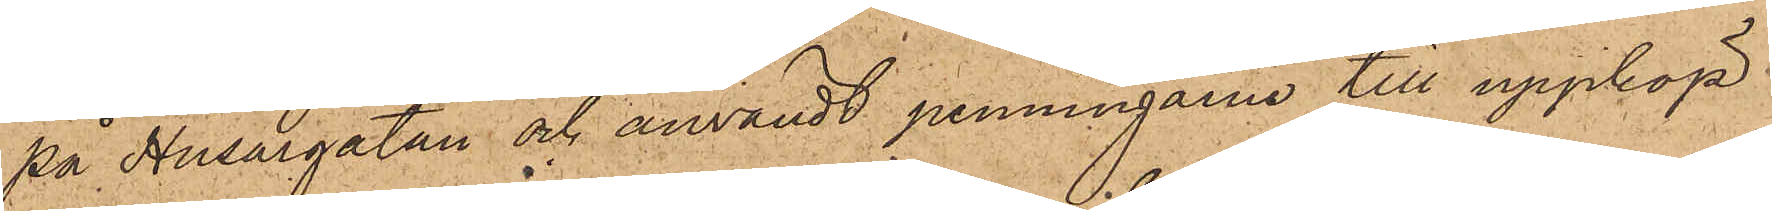på Husargatan och användt penningarne till uppköp
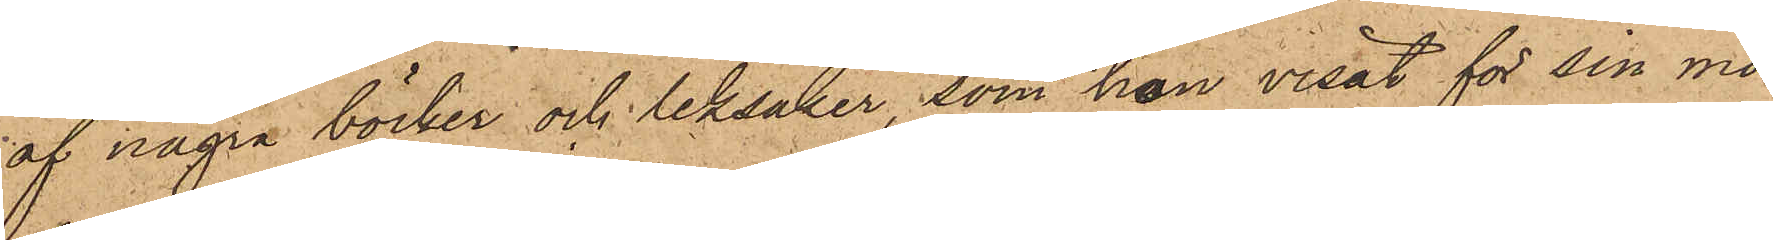af några böcker och leksaker, som hon visat för sin mo¬
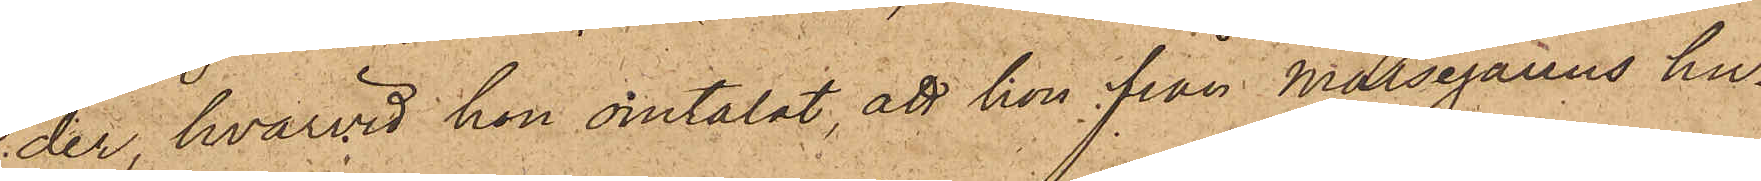der, hvarvid hon omtalat, att hon från Målsegarens hu¬
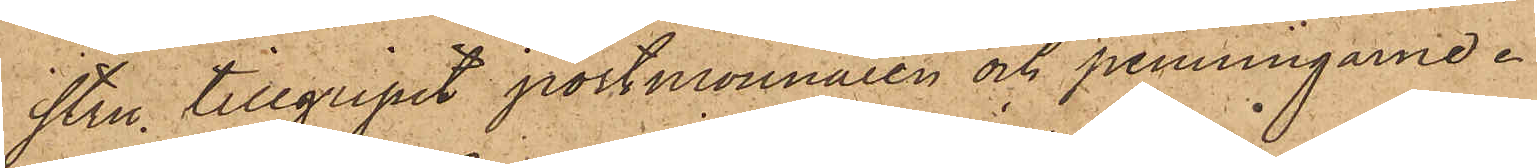stru tillgripit portmonnaien och penningarne.
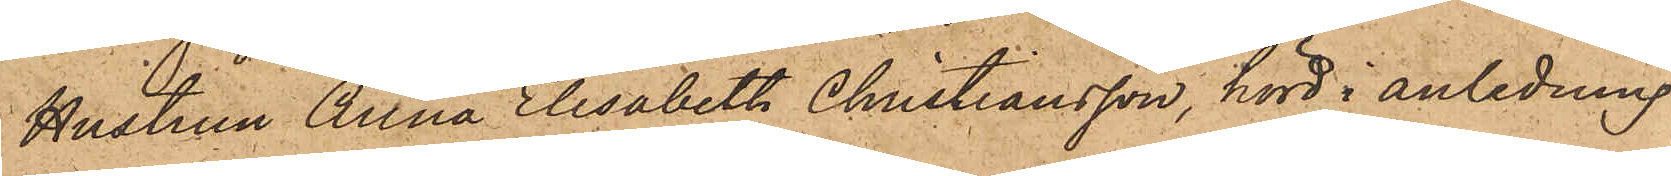Hustrun Anna Elisabeth Christiansson, hörd i anledning
